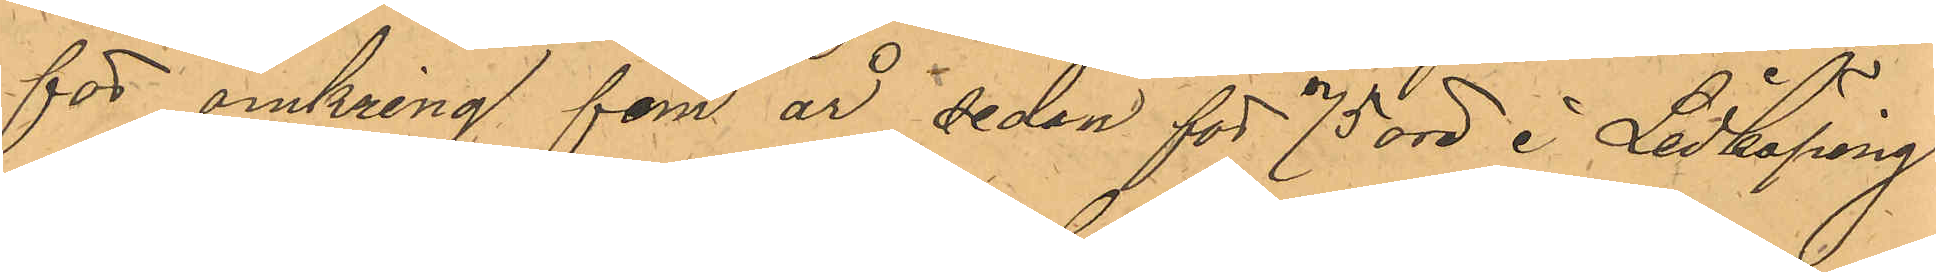för omkring fem år sedan för 75 öre å Lidköping
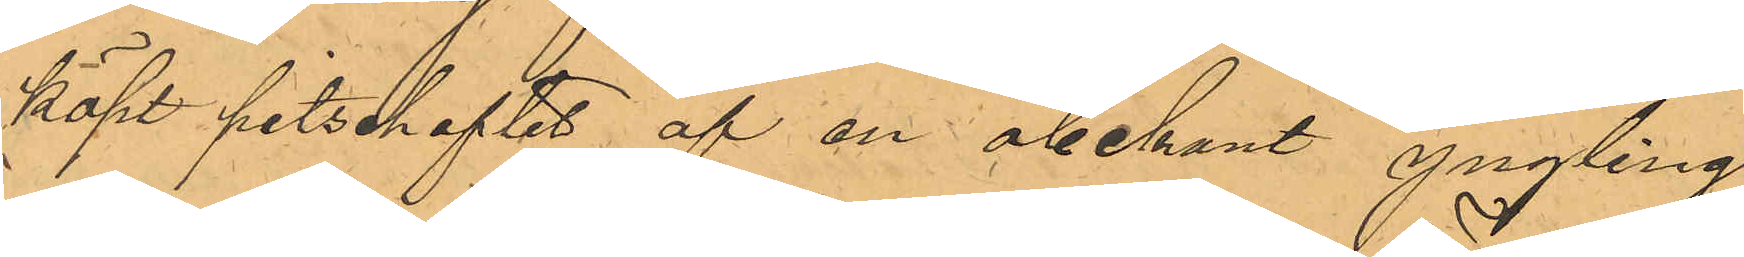köpt pitschaftet af en obekant yngling.
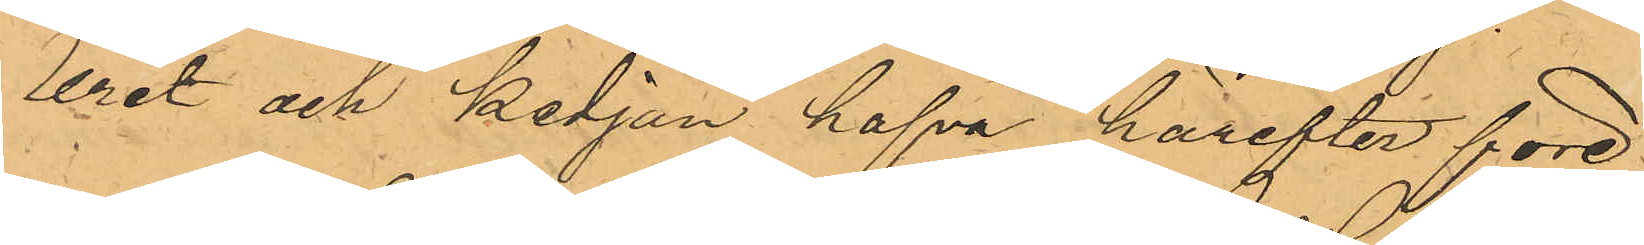Uret och kedjan hafva härefter före¬
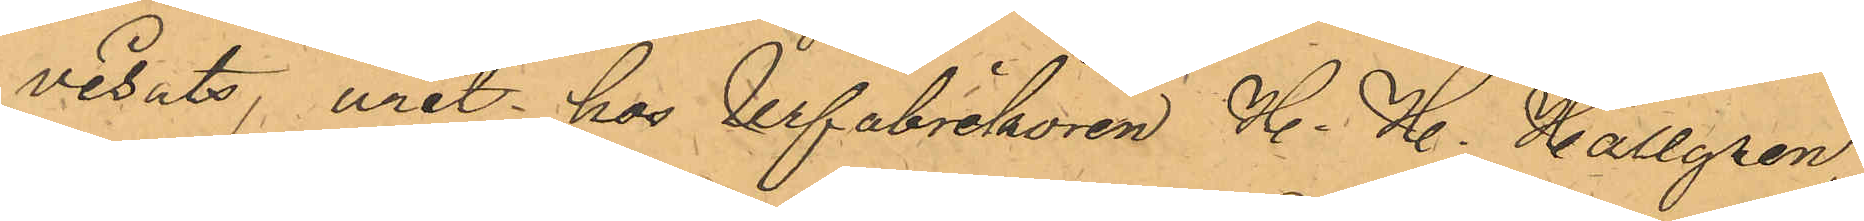visats, uret hos Urfabrikören H. H. Hallgren
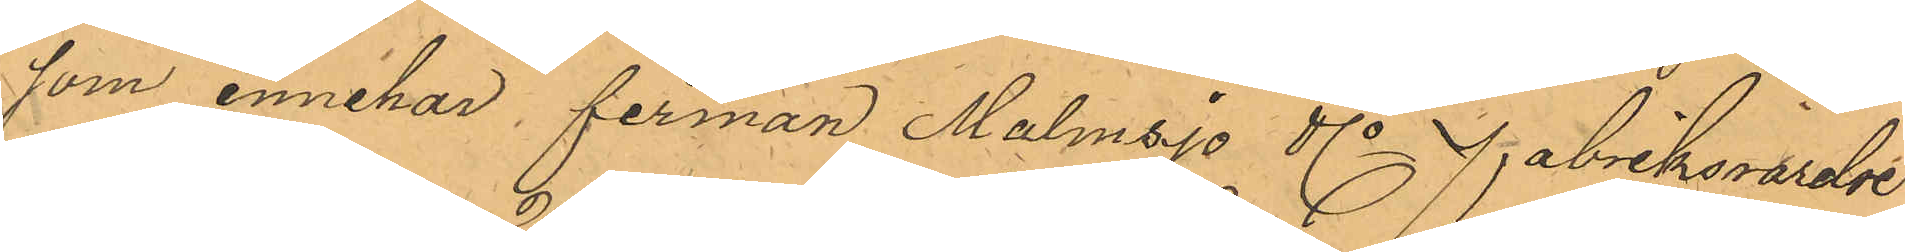som innehar, firman Malmsjö & Co Fabriksrörelse
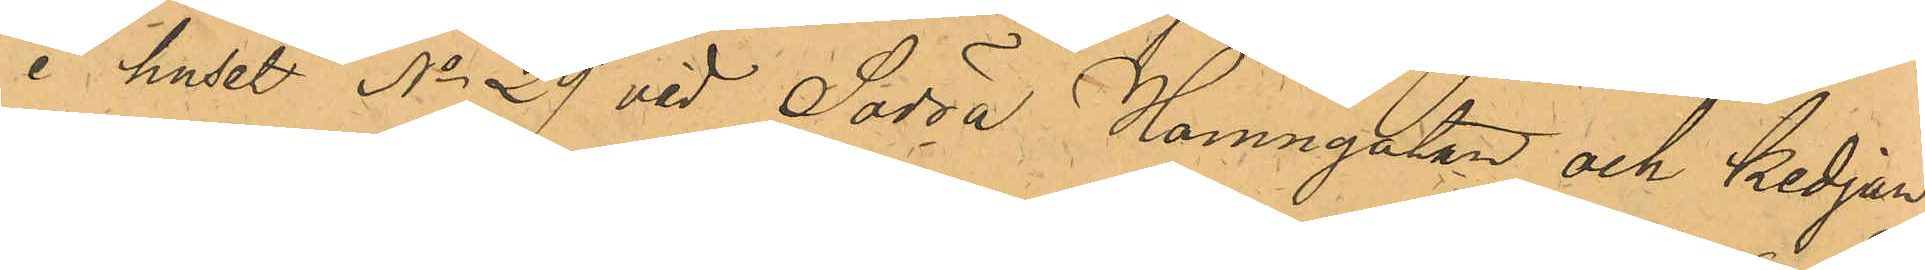i huset No 29 vid Södra Hamngatan och kedjan
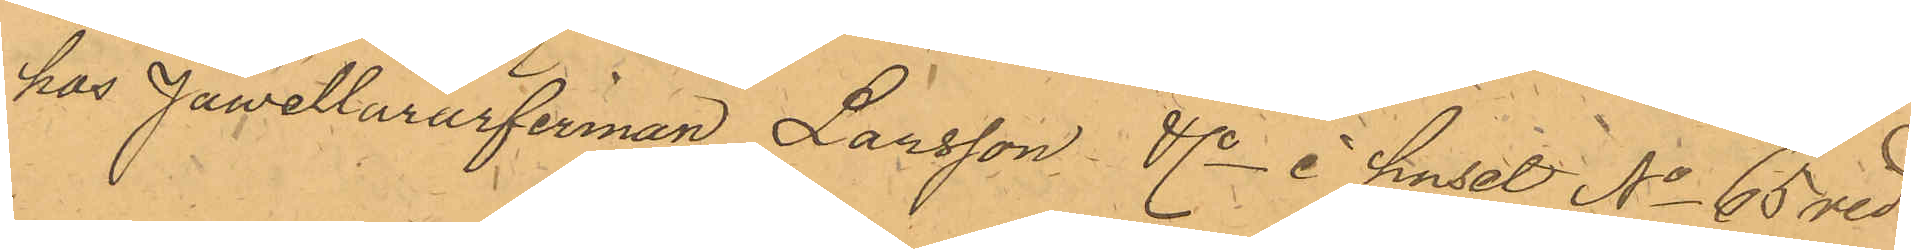hos Juwellärarfirman Larsson & Co i huset No 65 vid
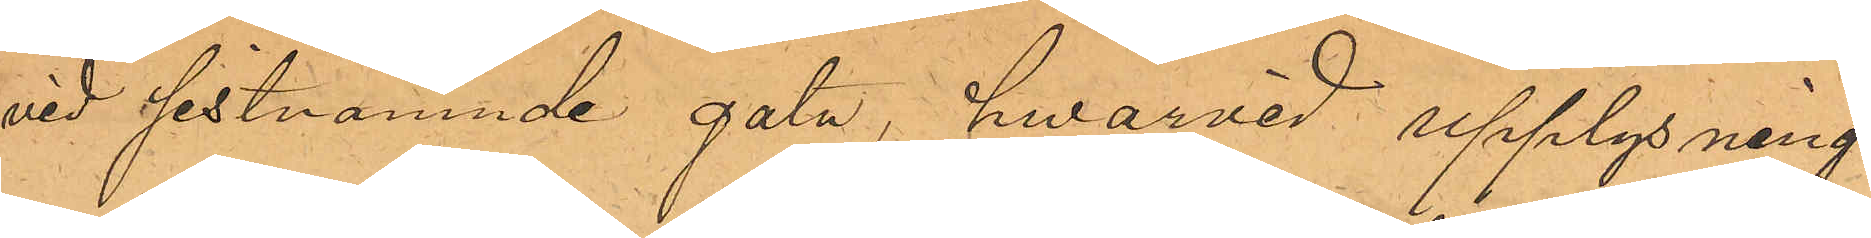vid sistnämnde gata, hwarvid upplysning
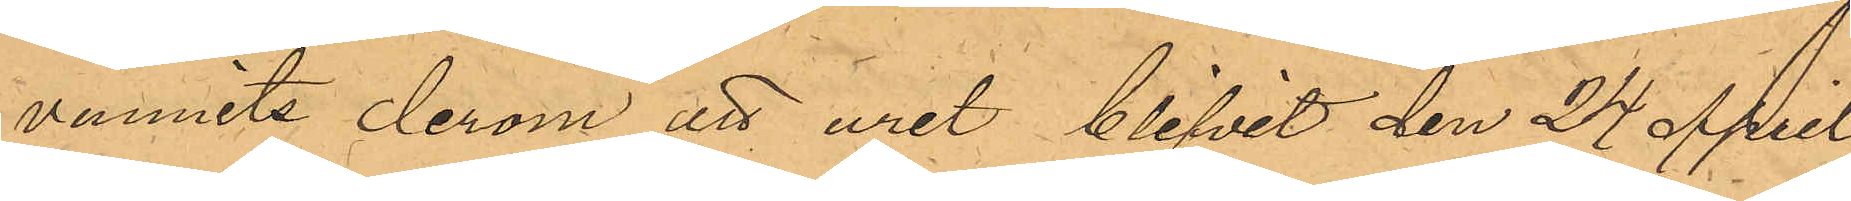vunnits derom att uret blifvit den 24 April
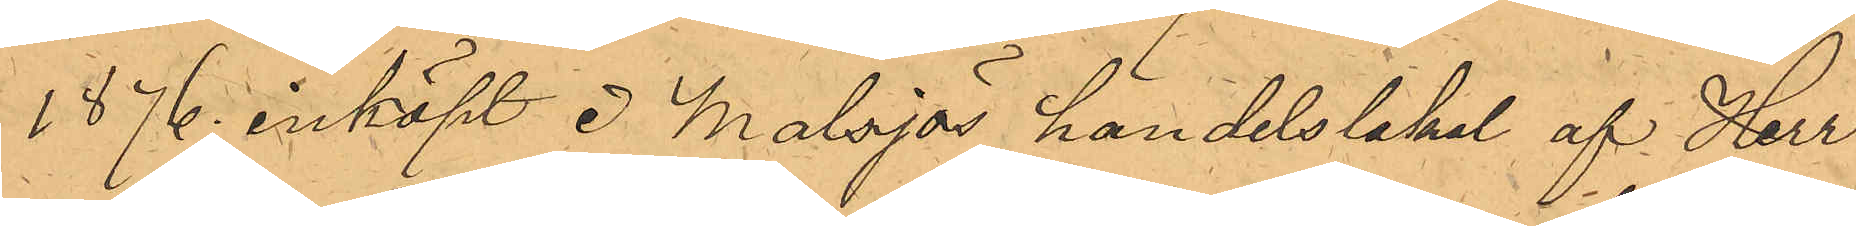1876 inköpt i Malsjös handelslokal af Herr
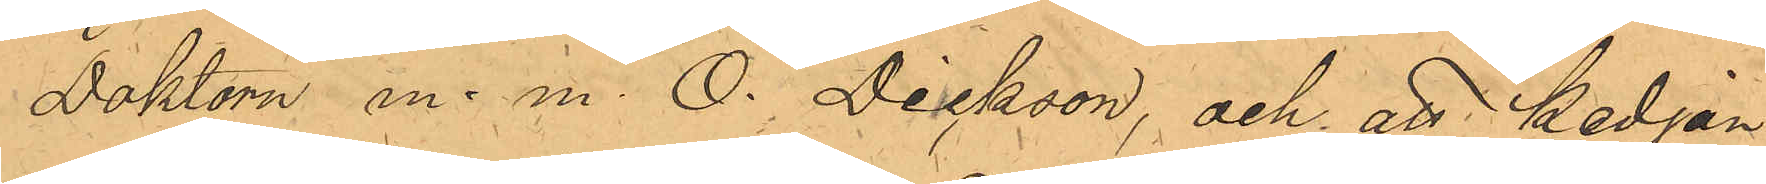Doktorn m. m. O. Dickson, och att kedjan
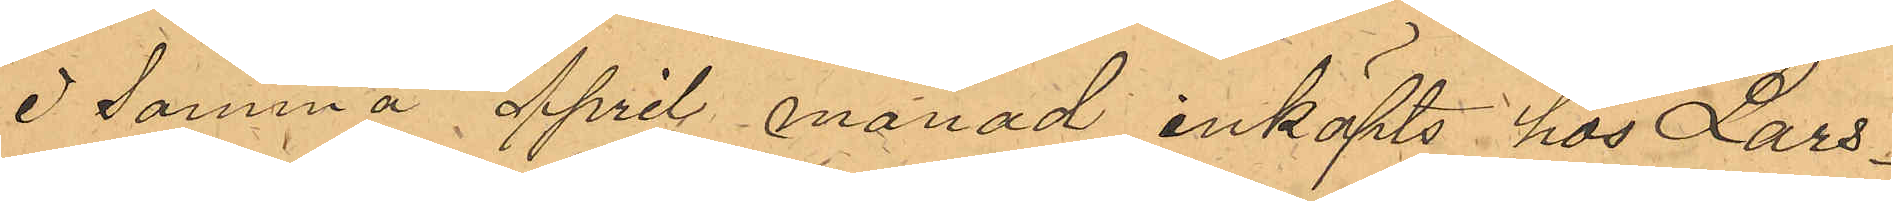Samma April månad inköpts hos Lars¬
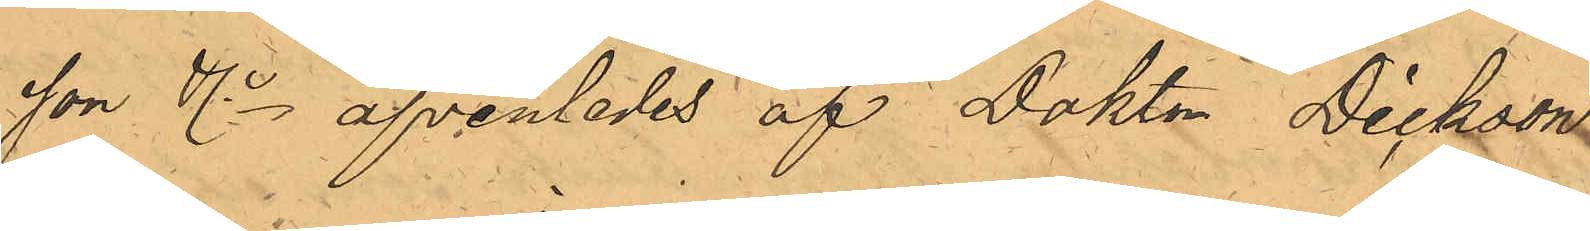son & Co äfvenledes af Doktor Dickson
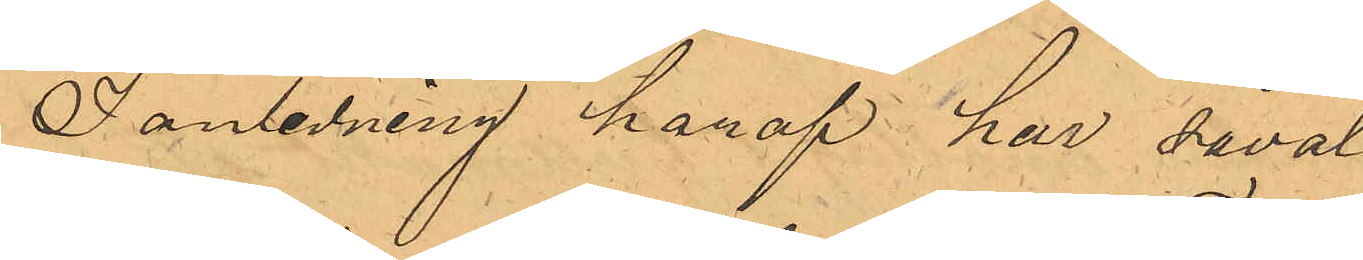I anledning haraf har såväl
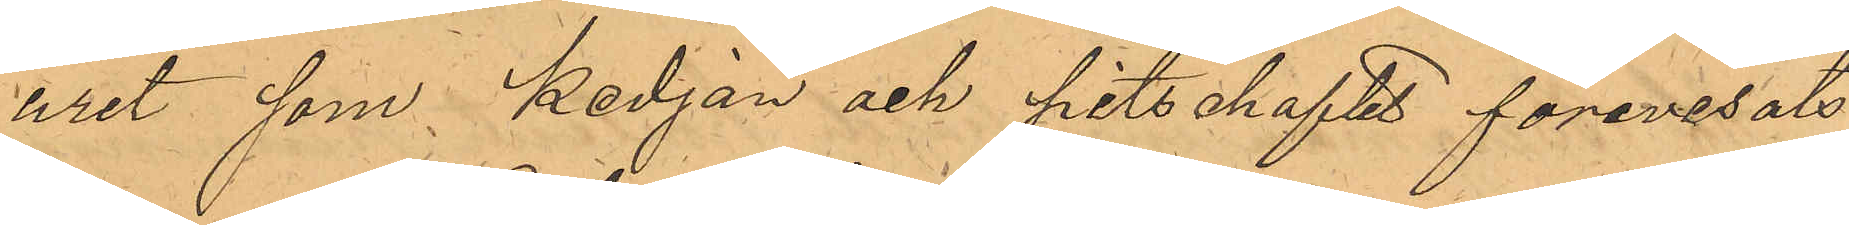uret, som kedjan och pitschaftet förevisats
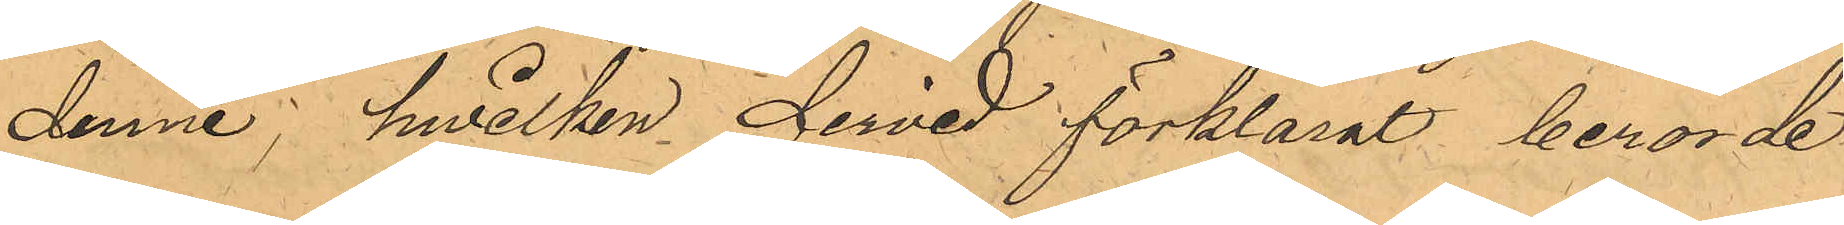denne; hiilken dervid förklarat berörde
